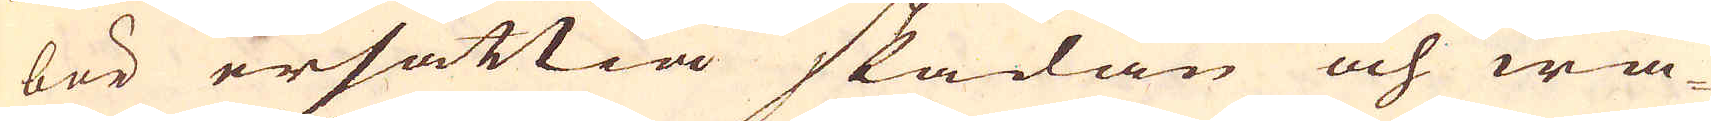bör ersättia skadan och wa-
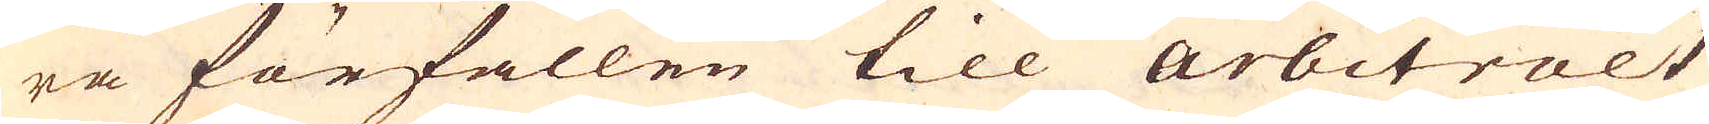ra förfallen till arbitralt
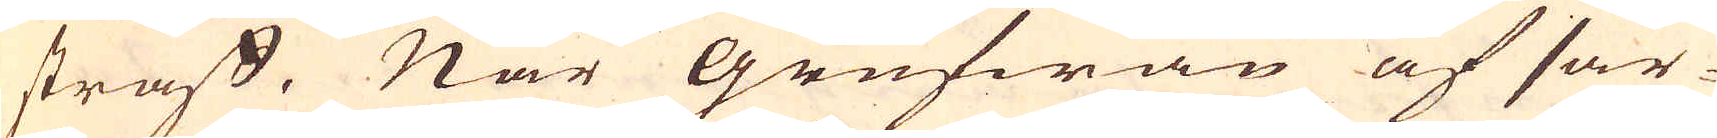straff. När Grufwan af sär-
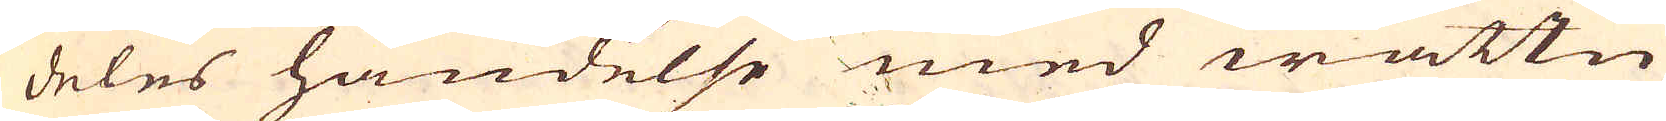deles händelse med wattn
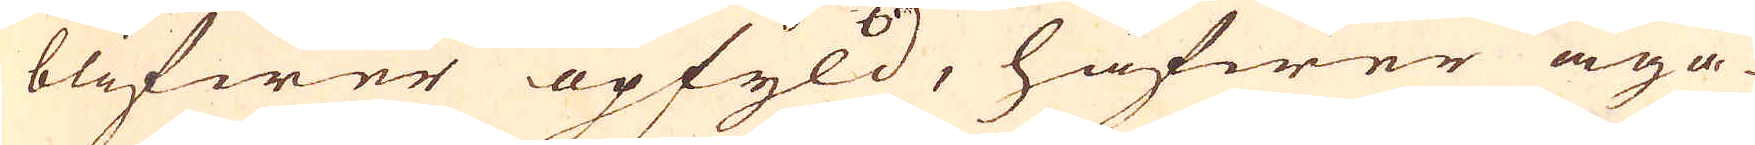blifwer opfyld, hafwer äga-
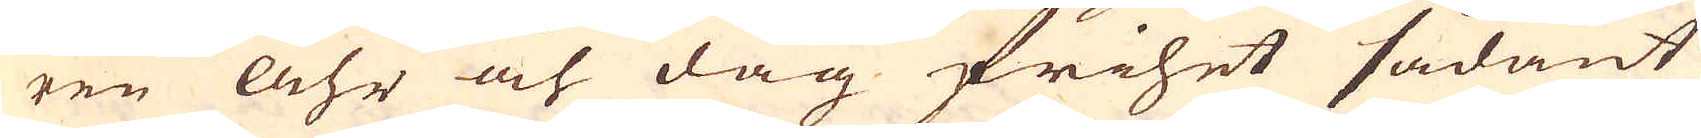ren Åhr och dag frihet sådant
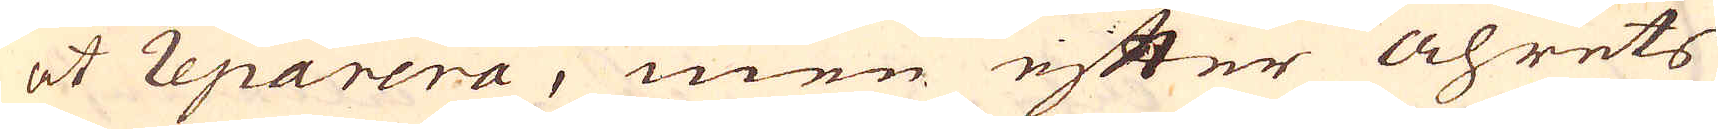at reparera, men efter åhrets
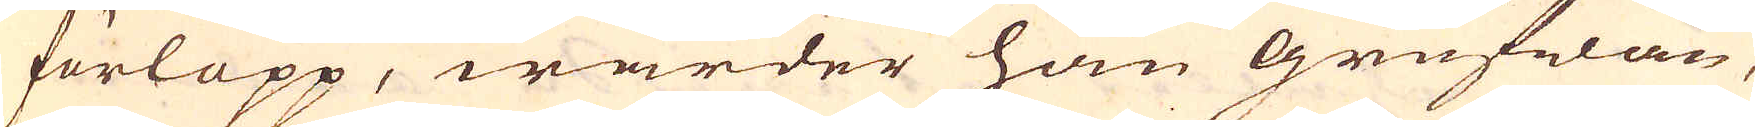förlopp, warder han grufwan,
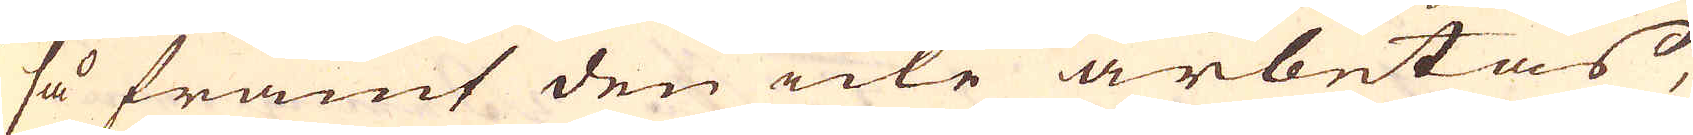så framt den icke arbetas,
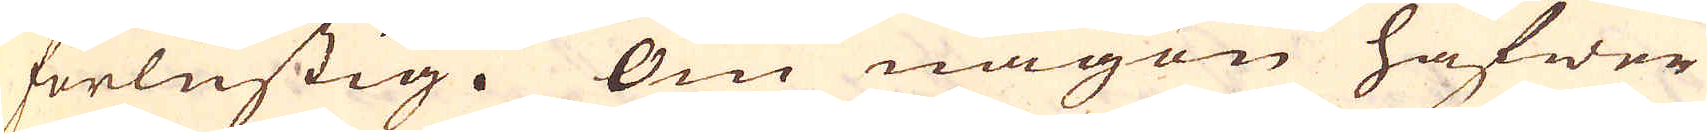förlustig. Om någon hafwer
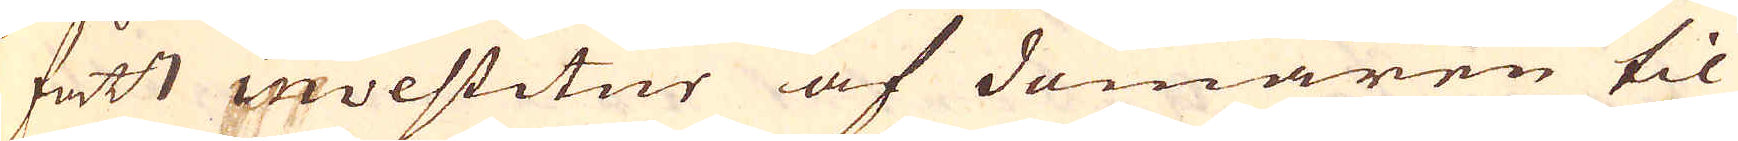fått investitur af domaren til
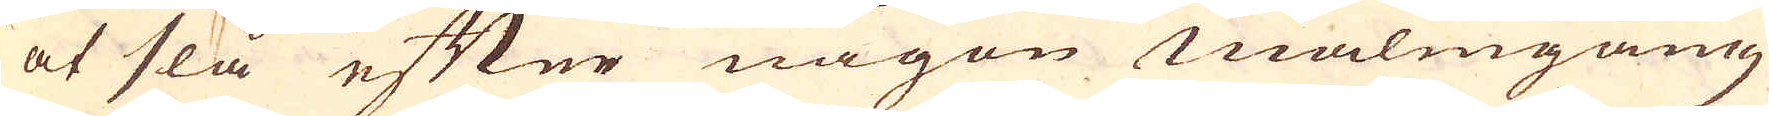at slå efter någon malmgång
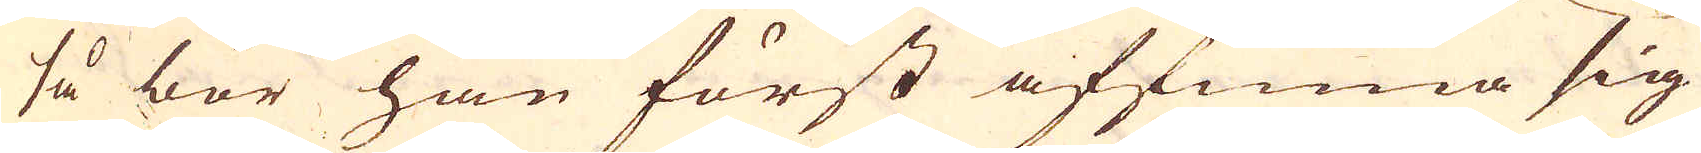så bör han först affinna sig
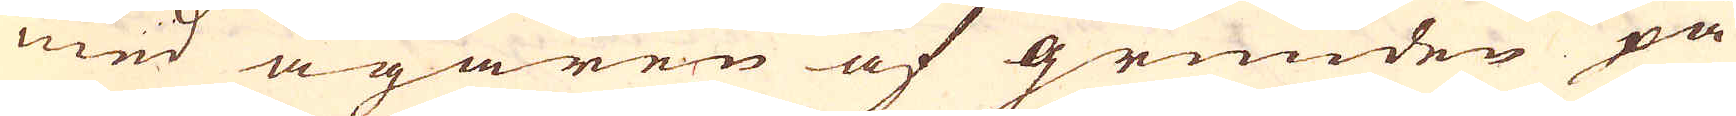med ägaren af grunden på
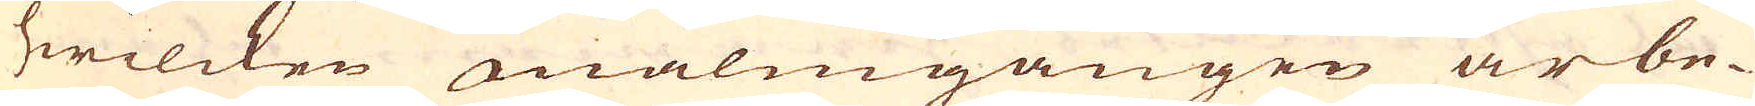hwilcken malmgången är be-
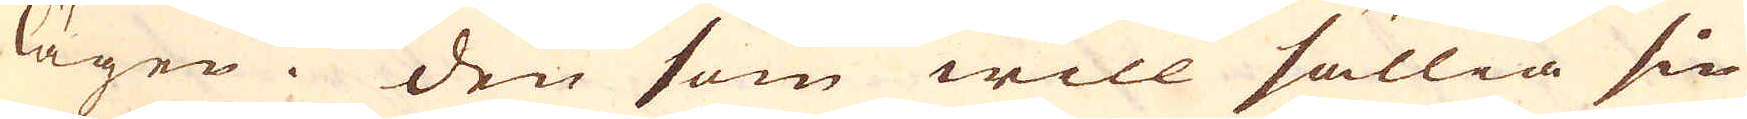lägen. Den som will sällia sin
